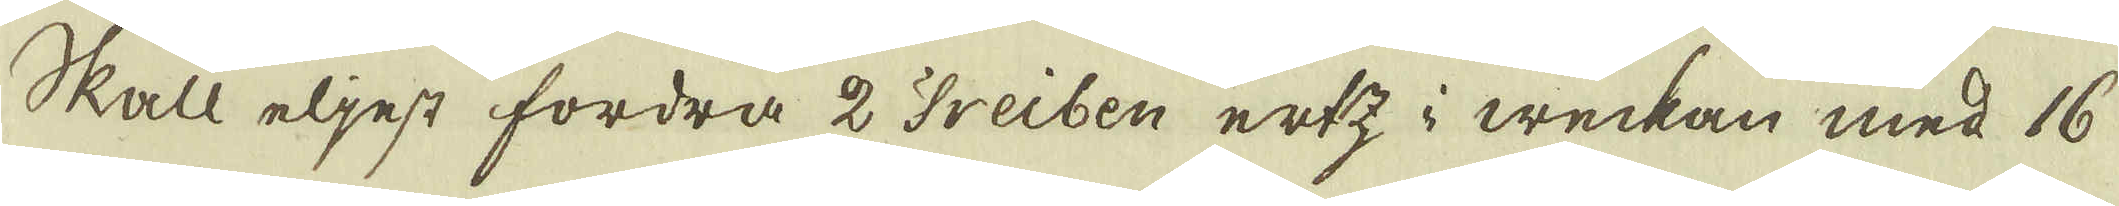Skall eljest fordra 2 Treiben ertz i weckan med 16
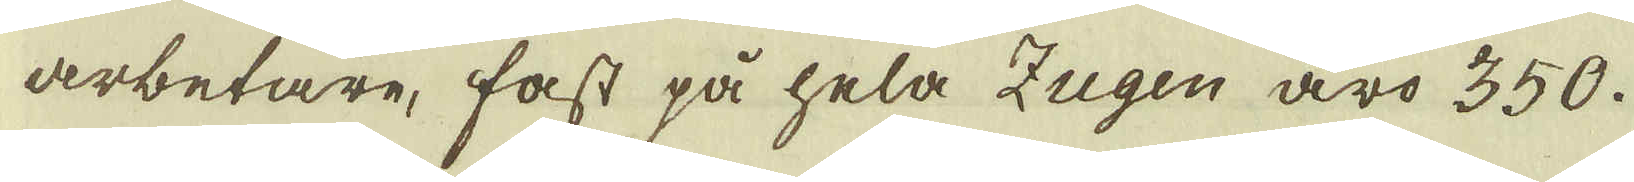arbetare, fast på hela igen äro 350.
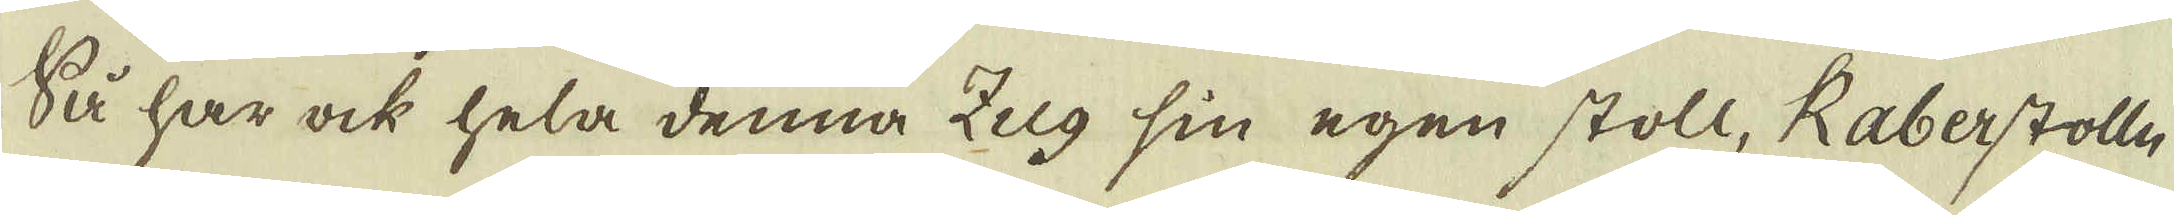Så har ock hela denna Zug sin egen stoll, Raberstolle
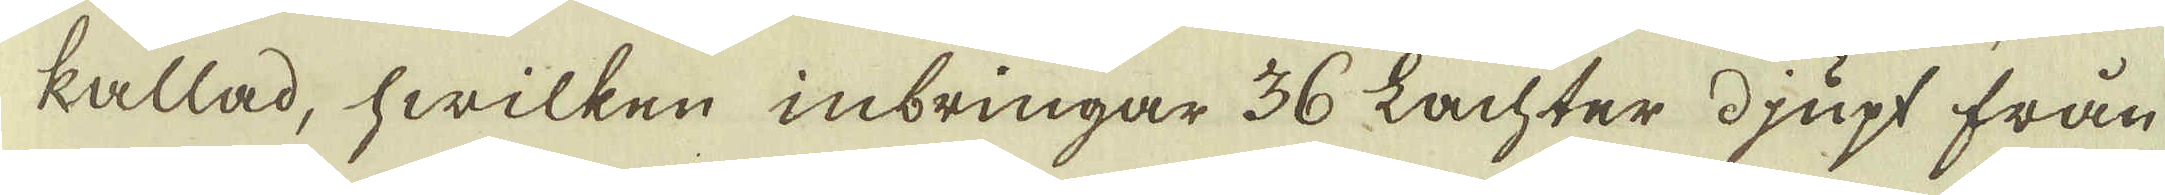kallad, hwilken inbringar 36 Lachter djupt från
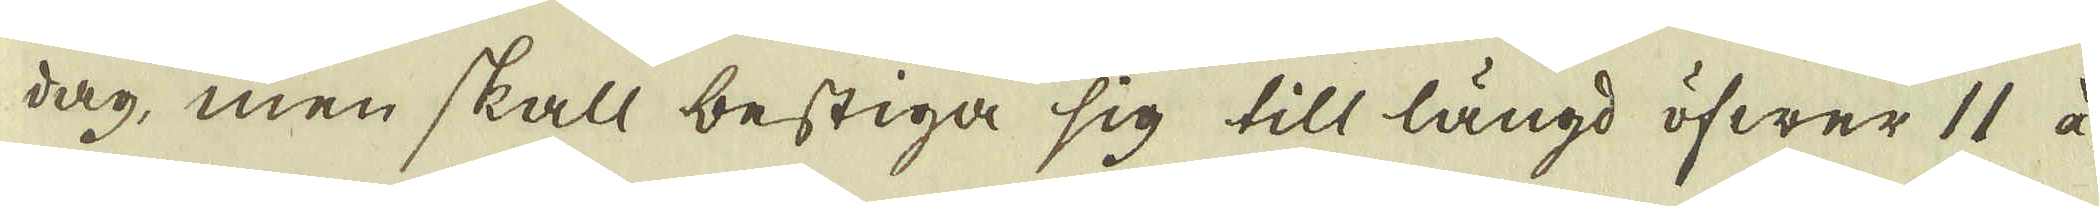dag, men skall bestiga sig till längd öfwer 11 à
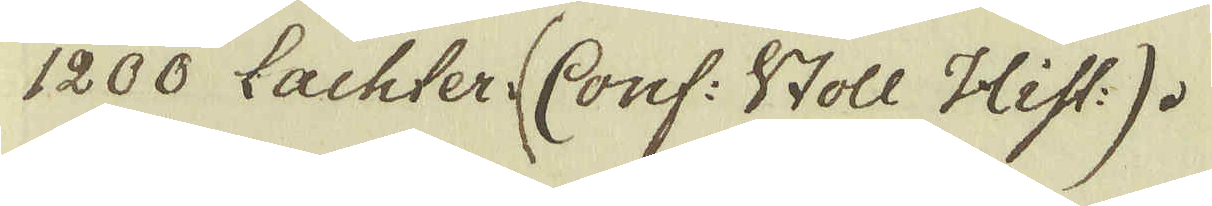1200 Lachter (Conf: Stoll Hist:).
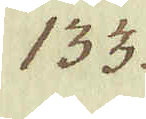133.
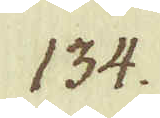134.
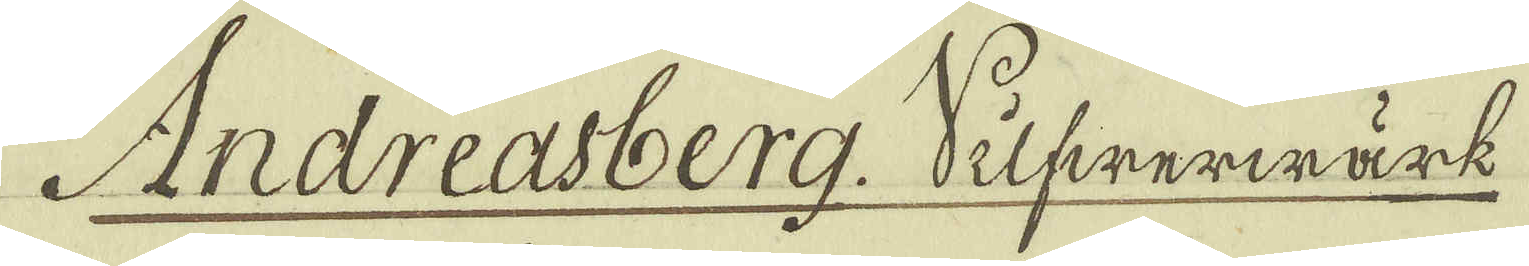Andreasberg Silfwerwärk
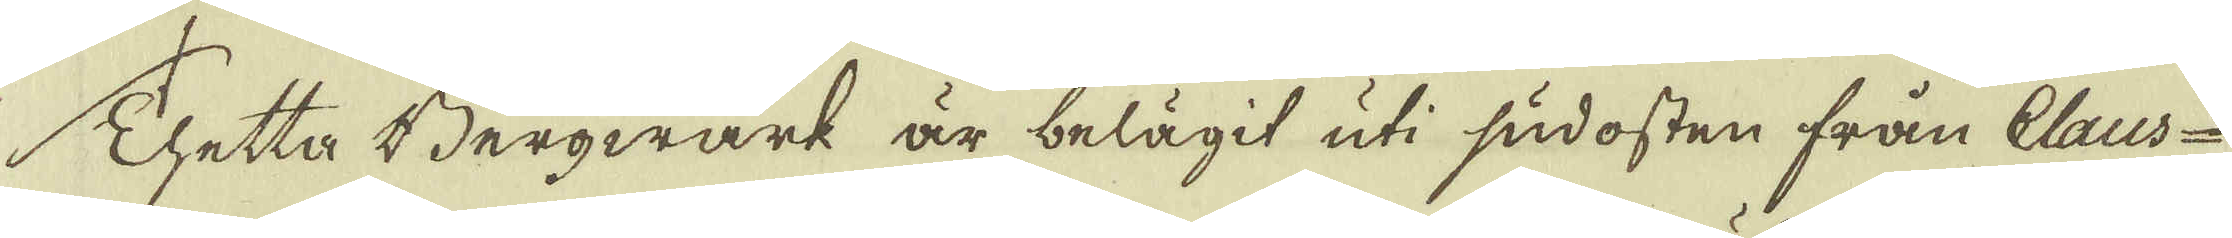Thetta Bergwärk är belägit uti sudosten från Claus-
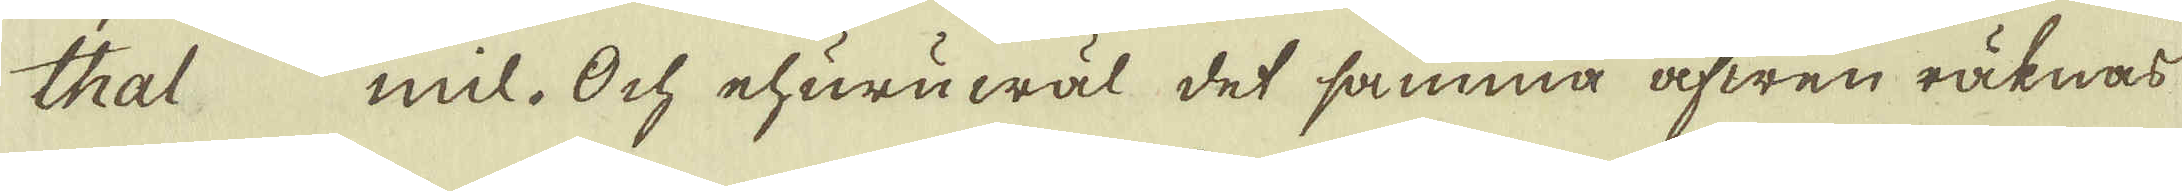thal mil. Och ehuruwäl det samma äfwen räknas
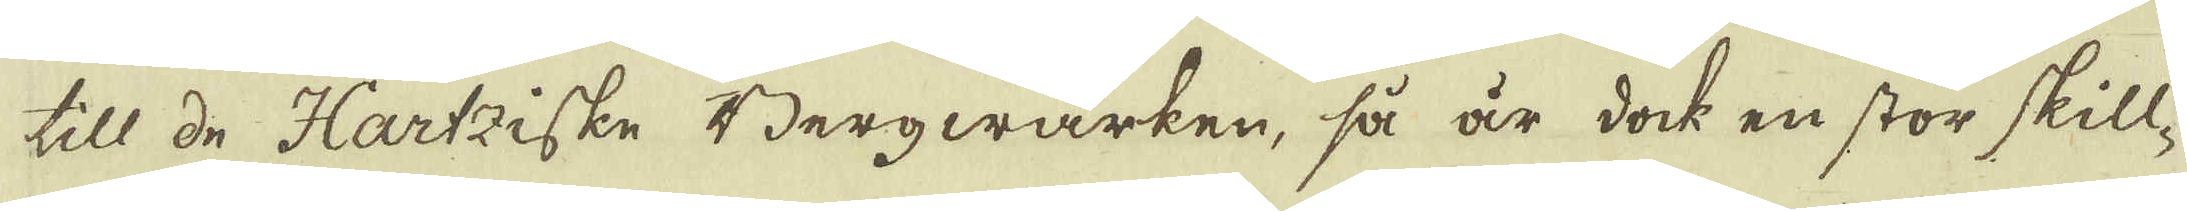till de Hartziske Bergwärken, så är dock en stor skill-
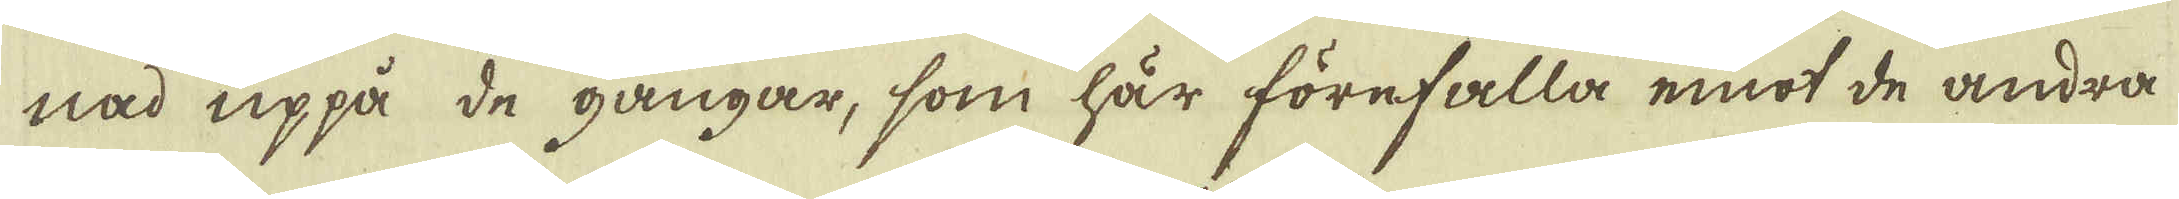nad uppå de gångar, som här förefalla emot de andra
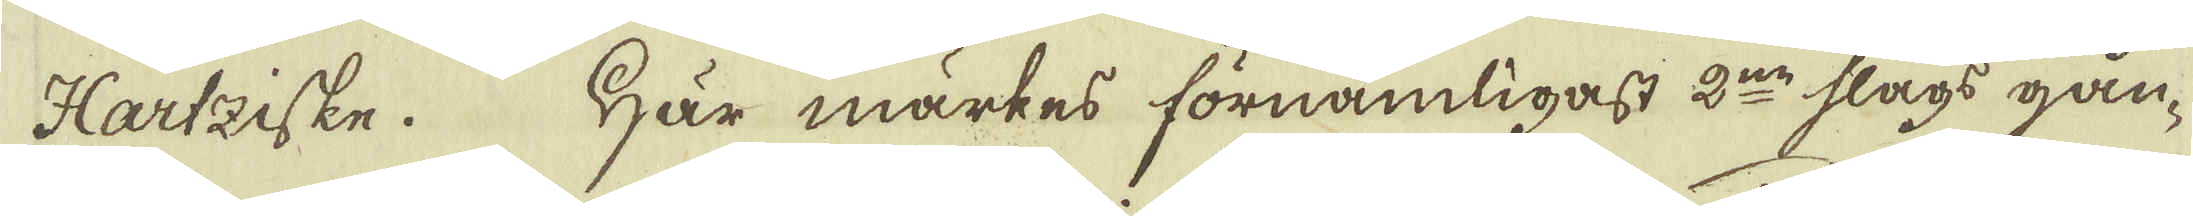Hartziske. Här märkes förnämligast 2:ne slags gån-
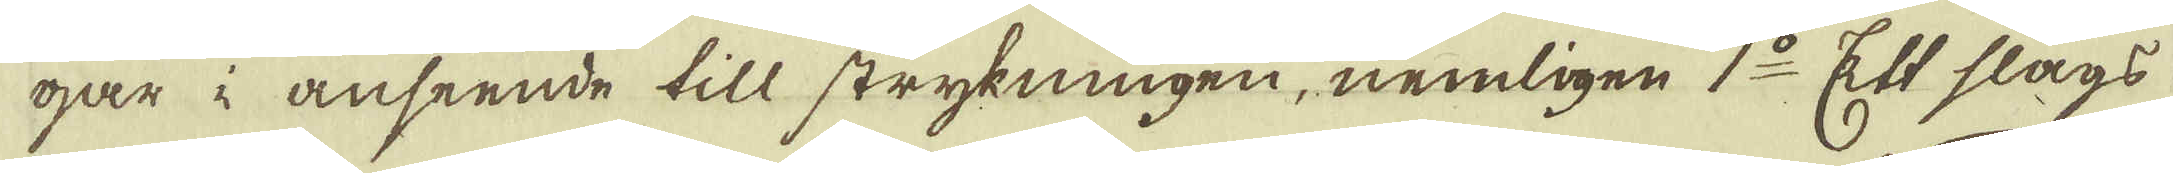gar i anseende till strykningen, nemligen 1:o Ett slags
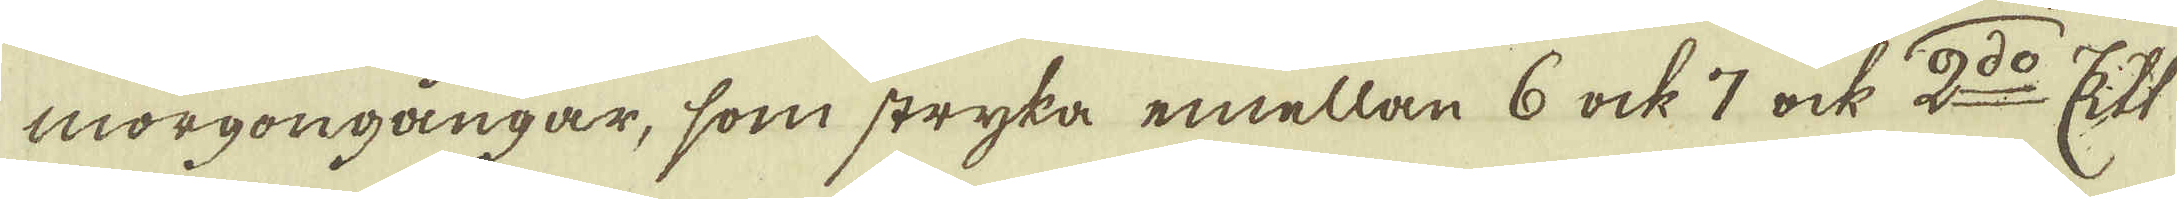morgongångar, som stryka emellan 6 ock 7 ock 2:o Ett
